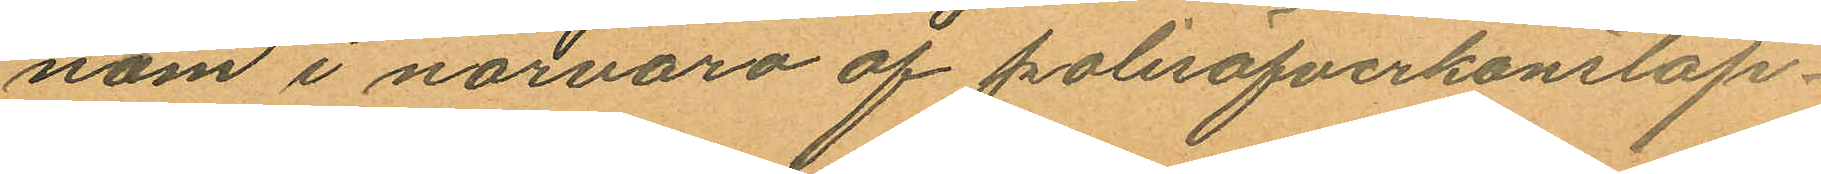nom i närvaro af polisöfverkonstap¬
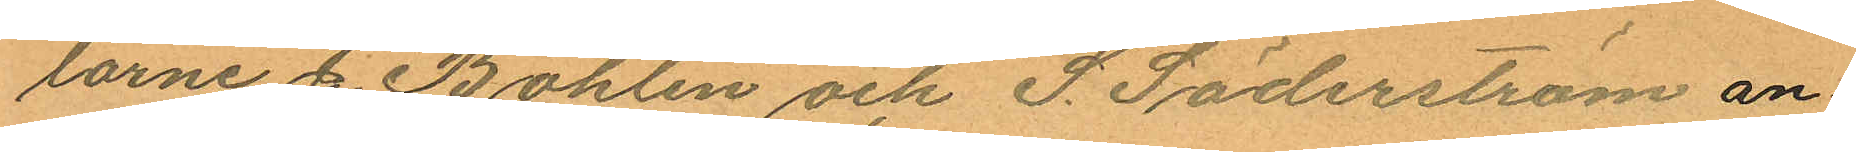larne C. Bohlin och S. Söderström an¬
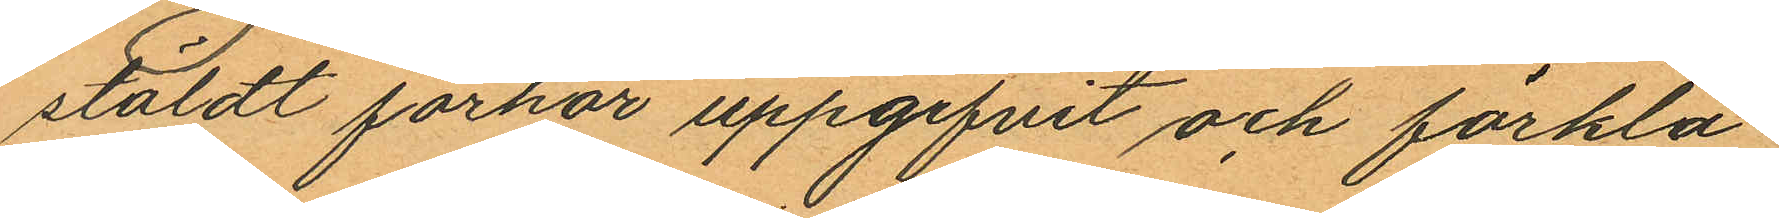stäldt förhör uppgifvit och förkla
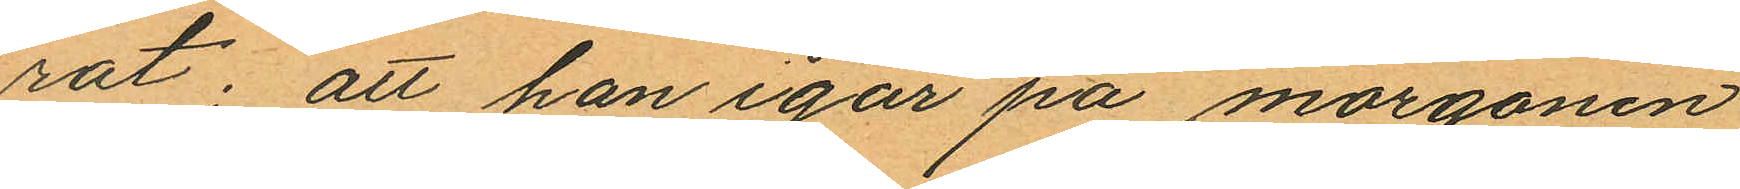rat: att han igår på morgonen
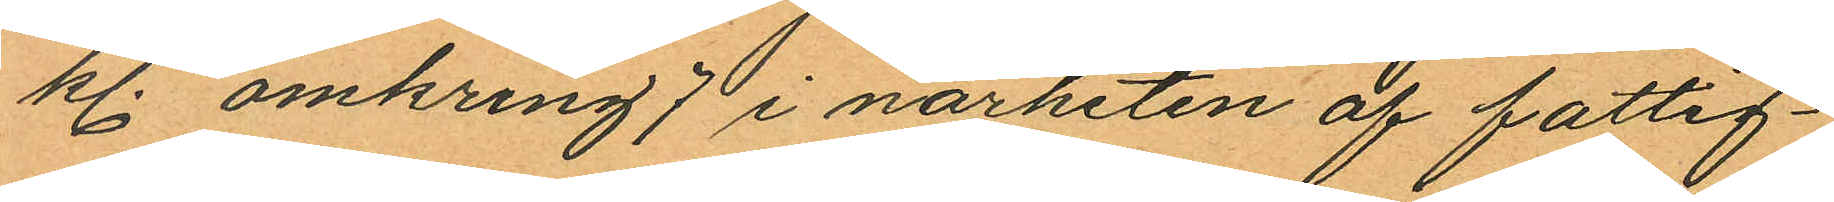kl. omkring 7 i närheten af fattig¬
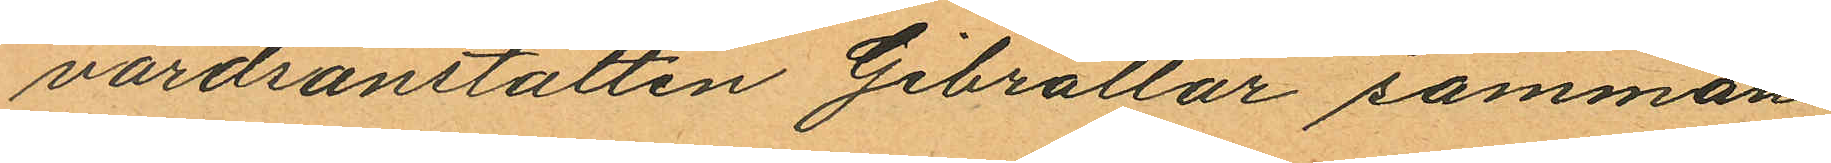vårdsanstalten Gibraltar samman
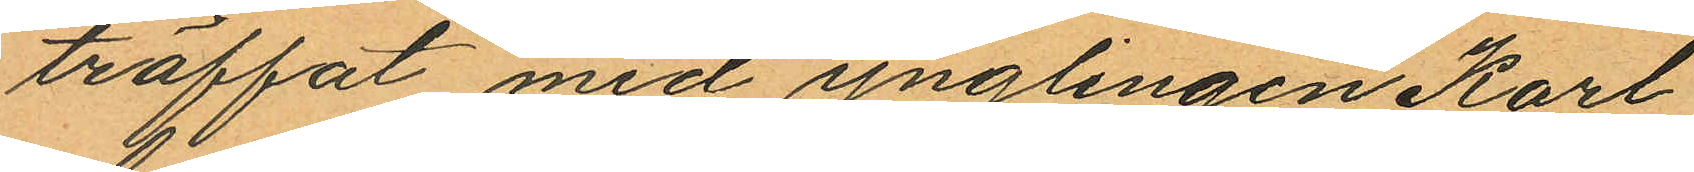träffat med ynglingen Karl
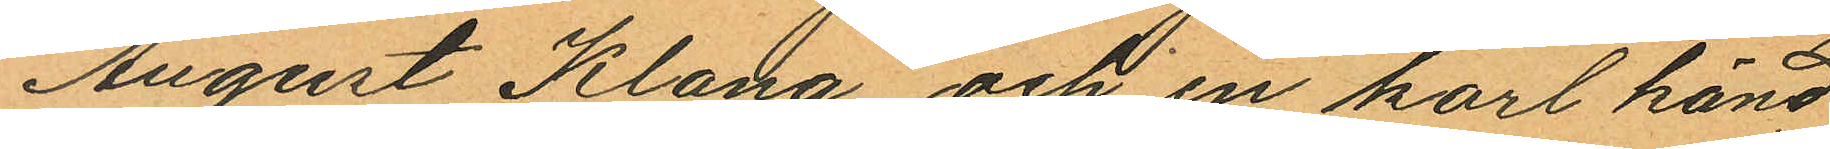August Klang och en karl känd
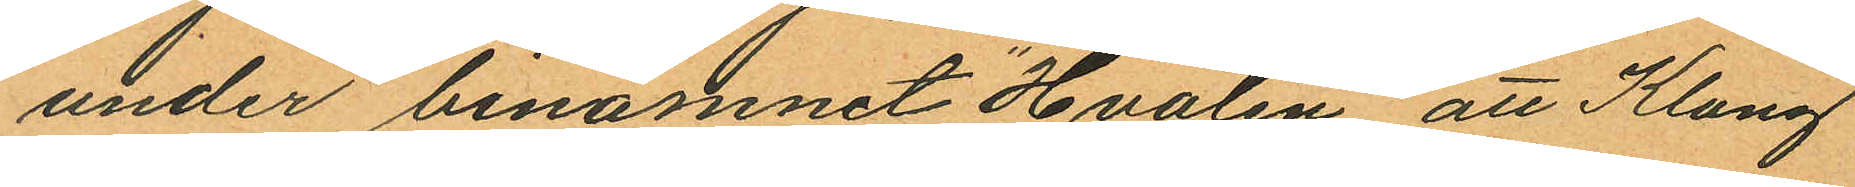under binamnet "Hvalen" att Klang
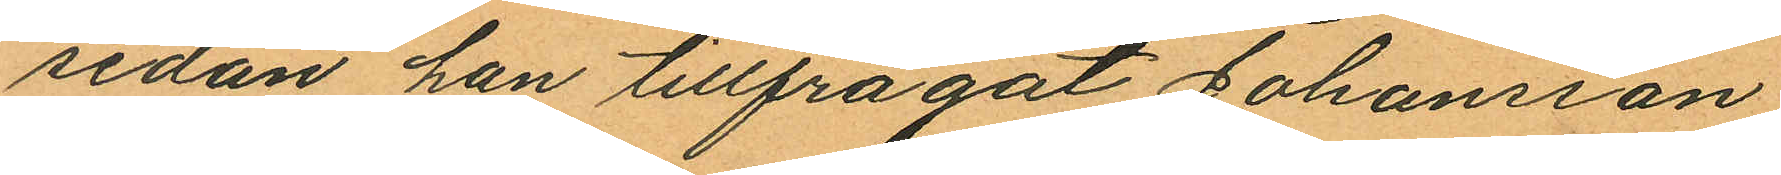sedan han tillfrågat Johansson
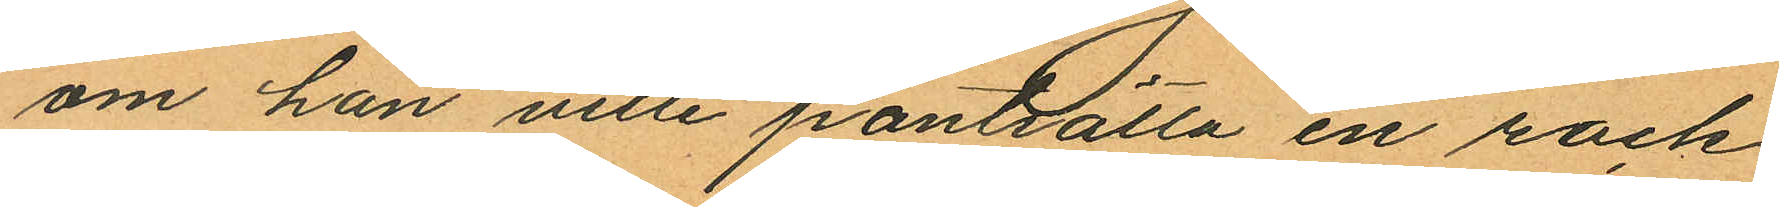om han ville pantsätta en rock
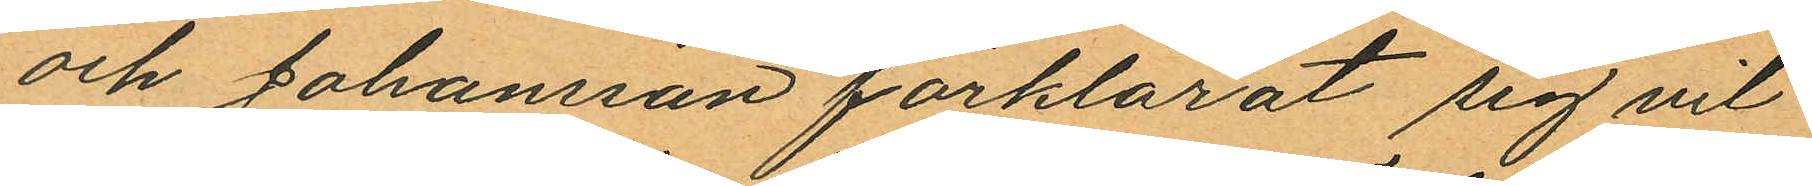och Johansson förklarat sig vil¬
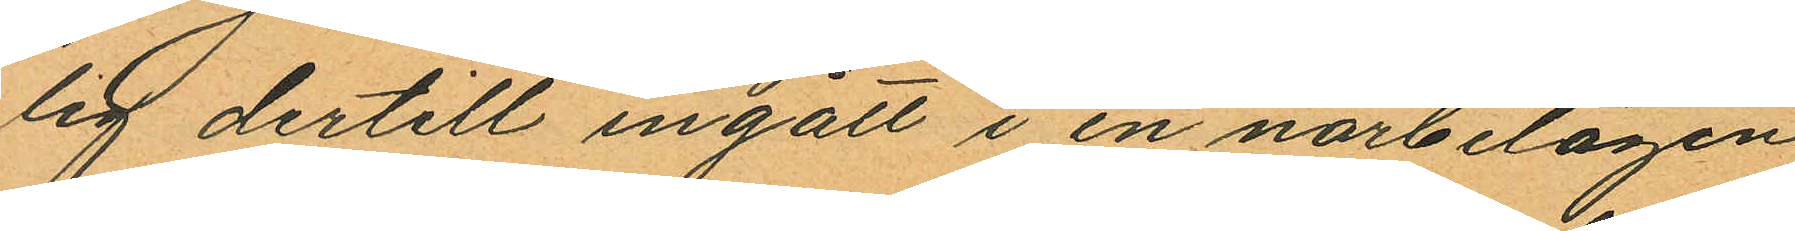lig dertill ingått i en närbelägen
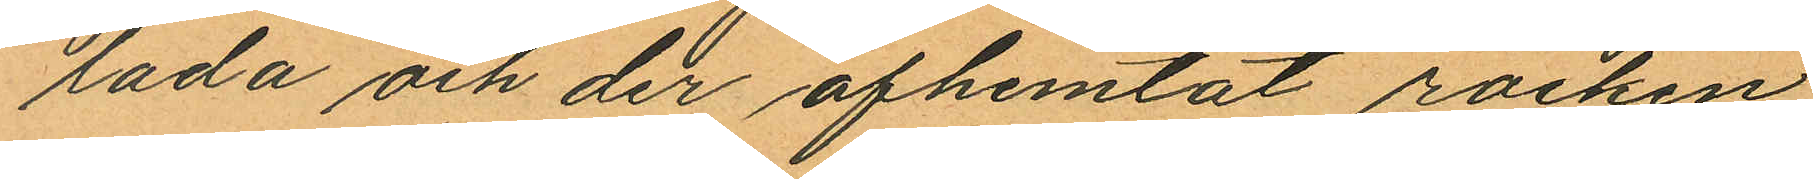lada och der afhemtat rocken
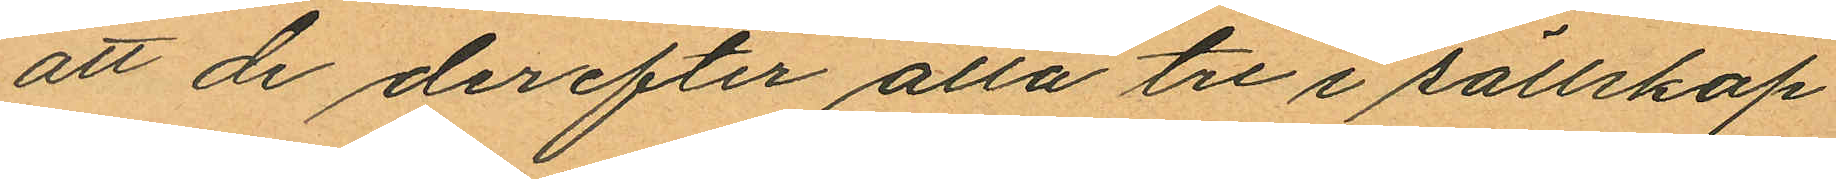att de derefter alla tre i sällskap
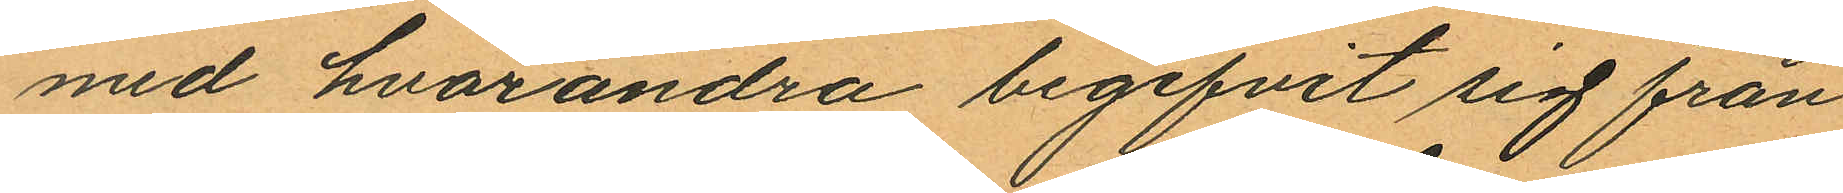med hvarandra begifvit sig från
